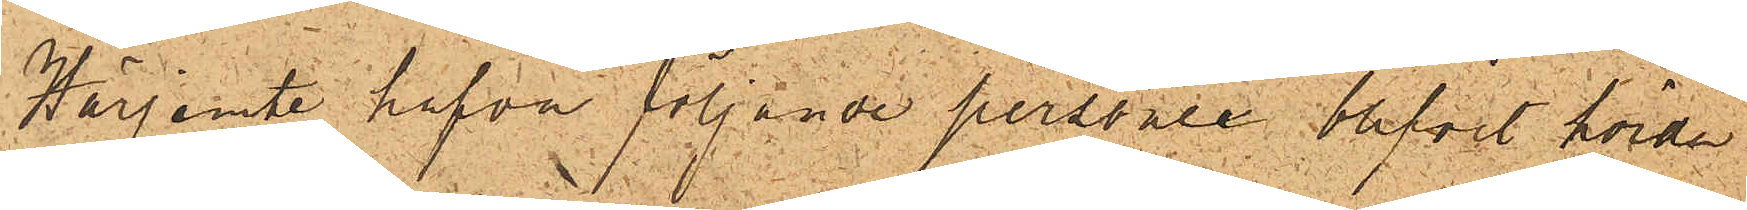Härjemte hafva följande personer blifvit hörda
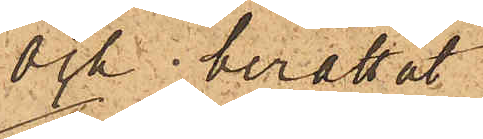och berättat.
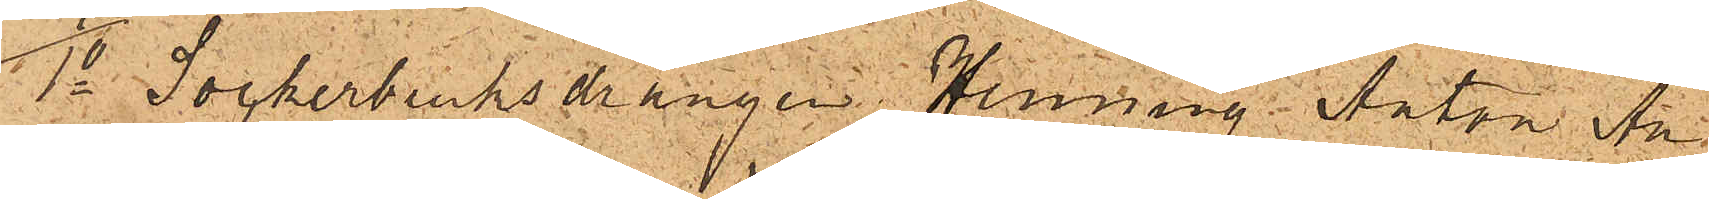1o Sockerbruksdrängen Henning Anton An¬
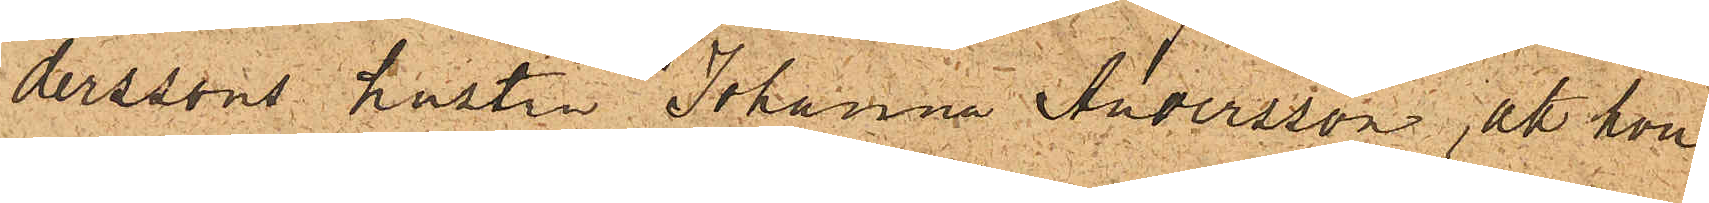derssons hustru Johanna Andersson, att hon
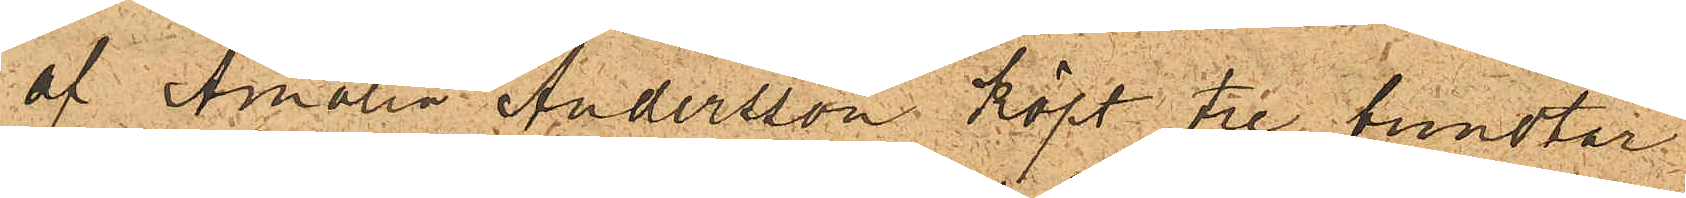af Amalia Andersson köpt tre bundtar
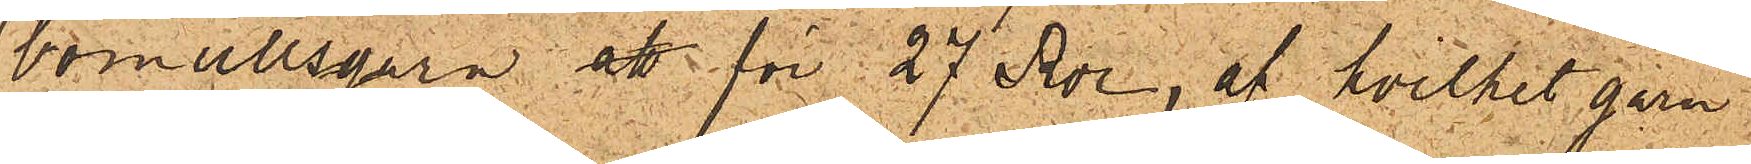bomullsgarn att för 27 Rdr, af hvilket garn
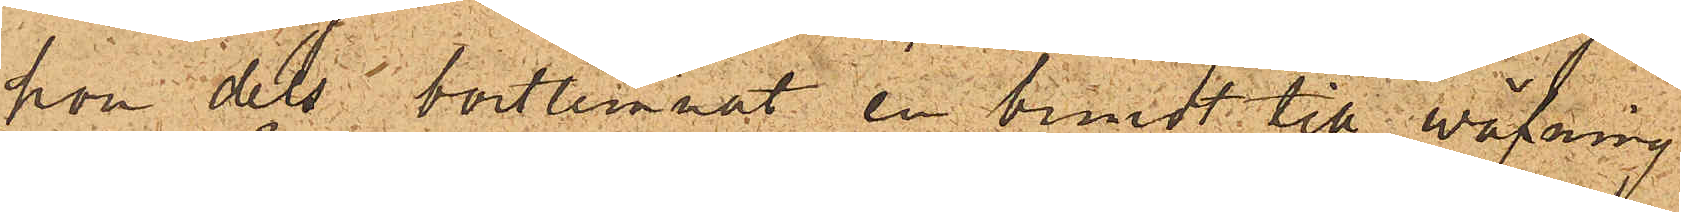hon dels bortlemnat en bundt till wäfning
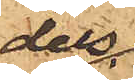dels
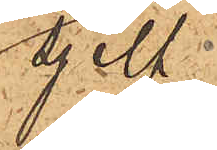sjelf
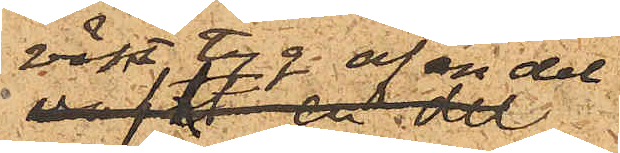vävt tyg av en del
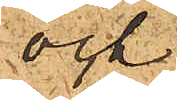och
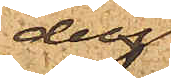dels
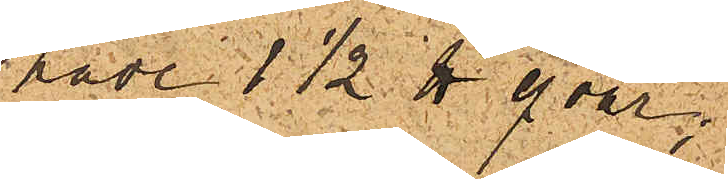hade 1½ ℔ qvar;
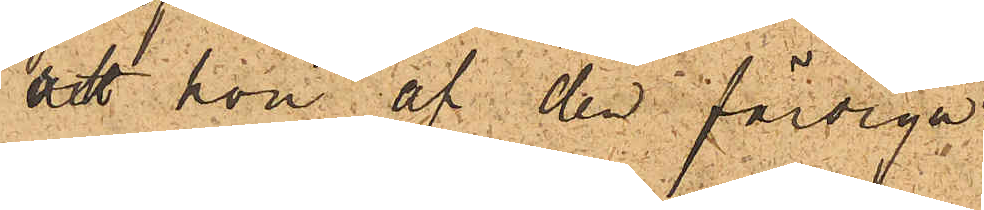att hon af den  färdiga
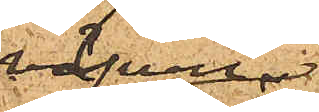väfven
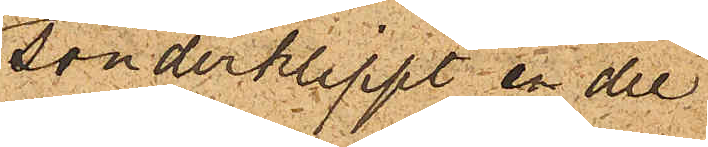sönderklippt en del
